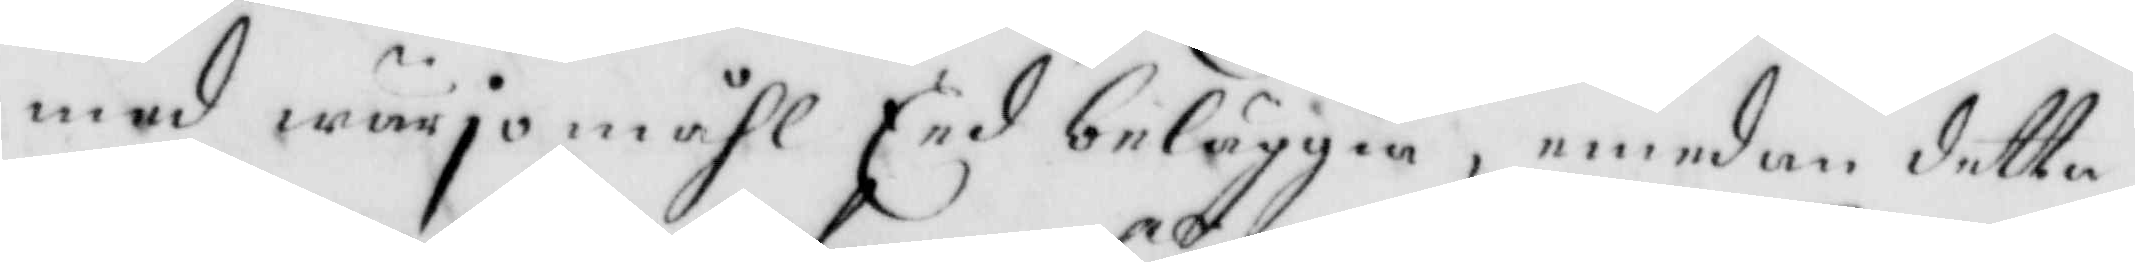med wärjomåhl Eed beläggia, emedan detta
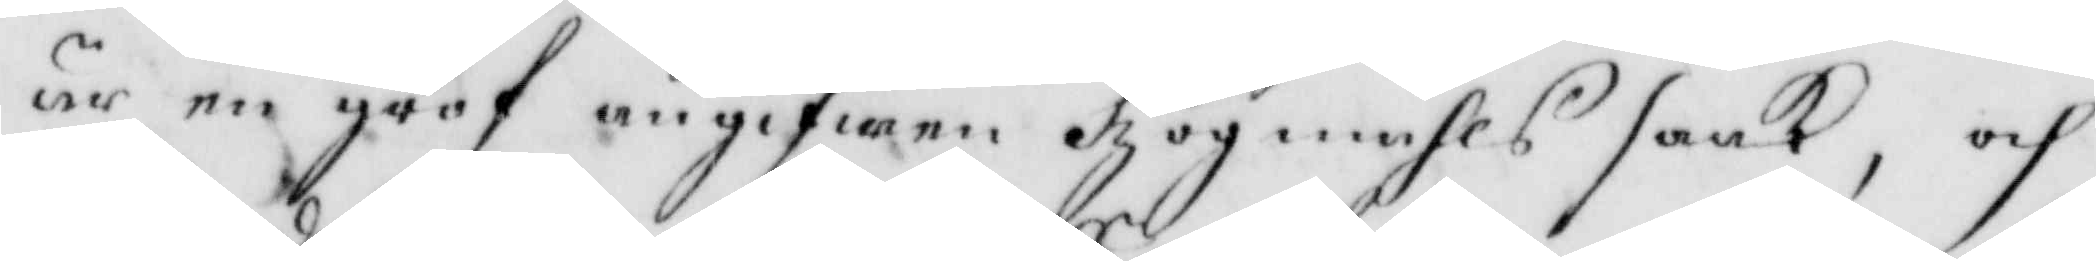är en grof angifwen högmåhls saak, och
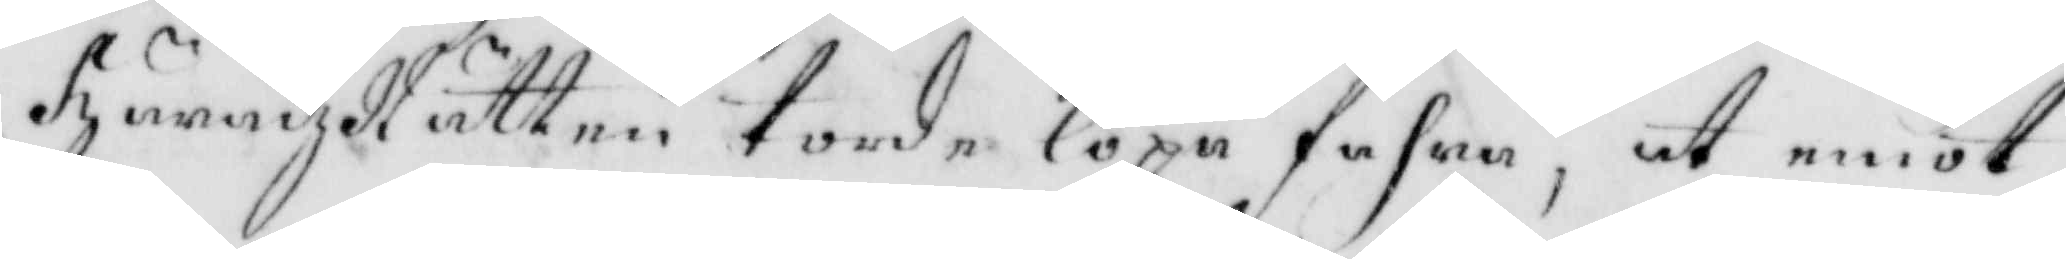häradzRätten torde löpa fahra, at emot
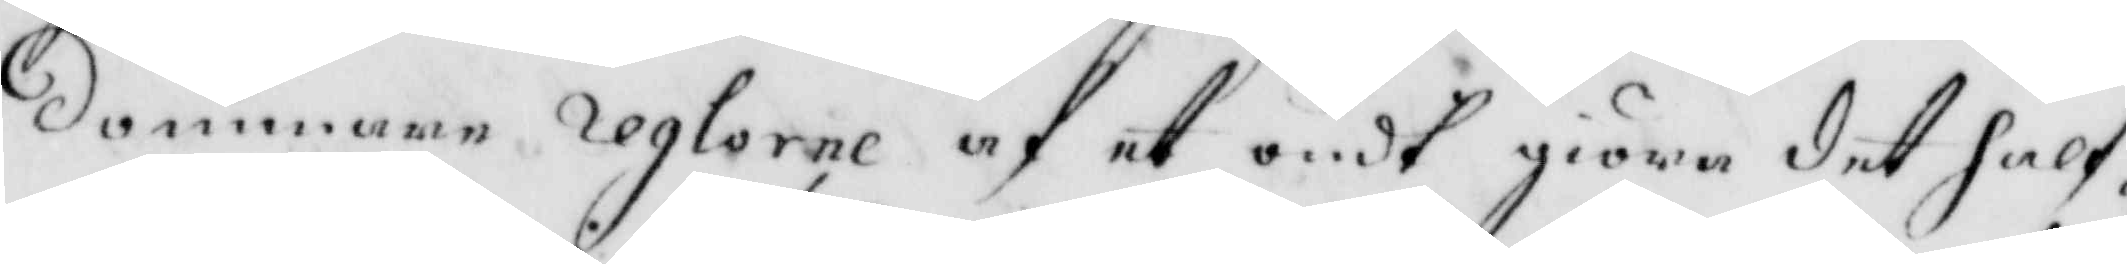dommaren reglera af et ondt giöra det half¬
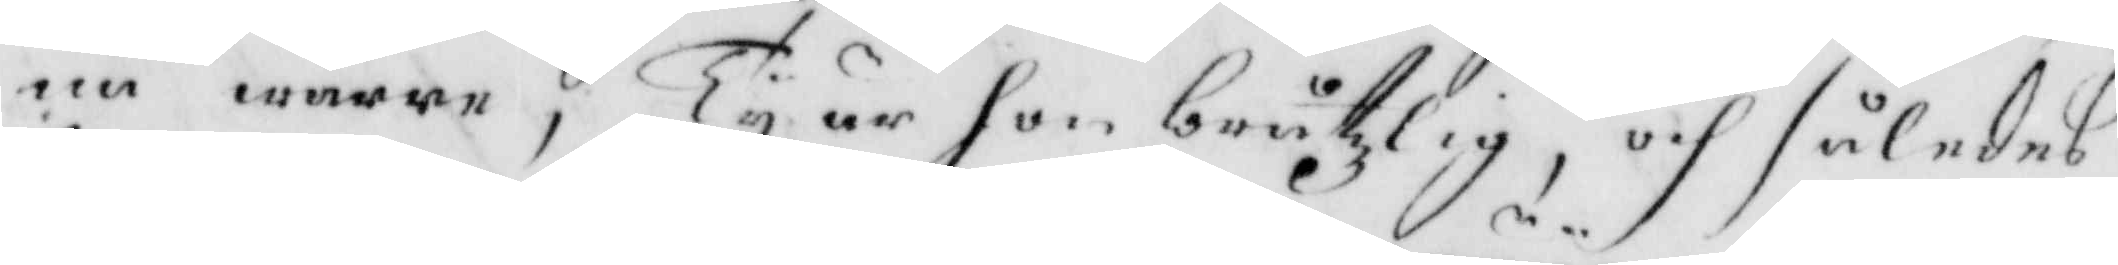ne wärre, Ty är hon bråtzlig, och således
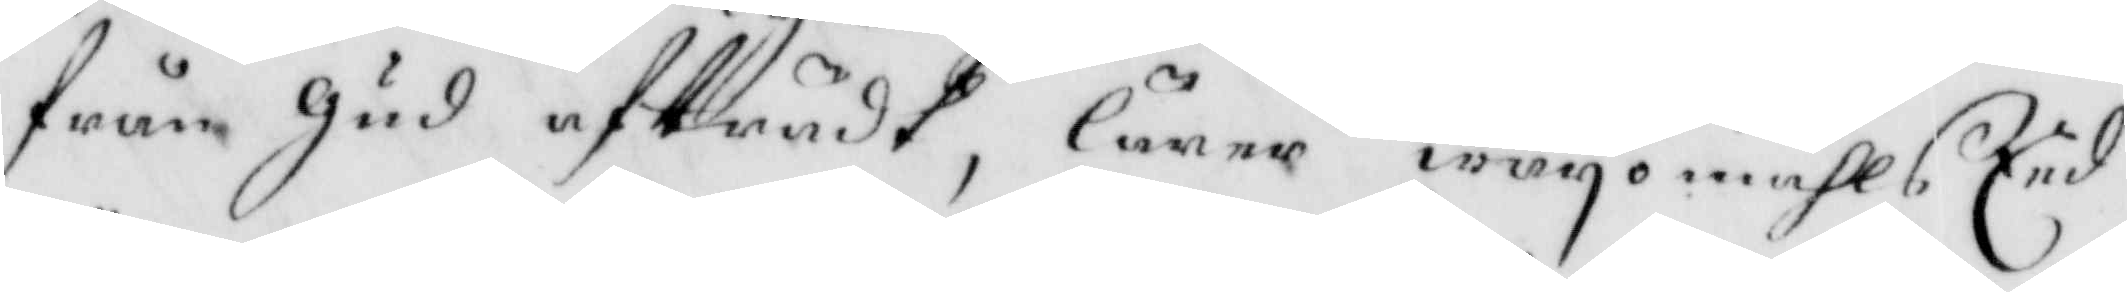från gud afträdt, lärer wärjomåhls Eed
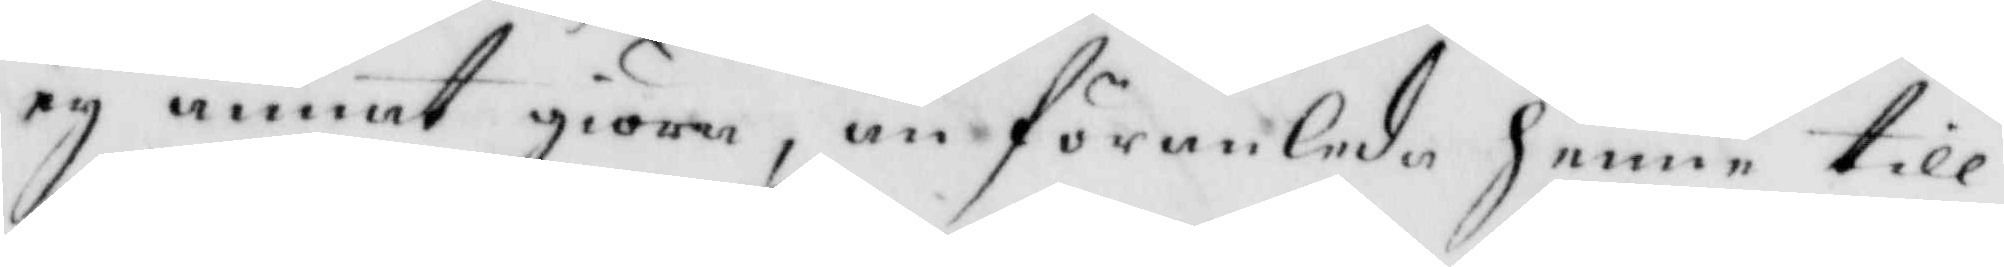ey annat giöra, än föranleda henne till
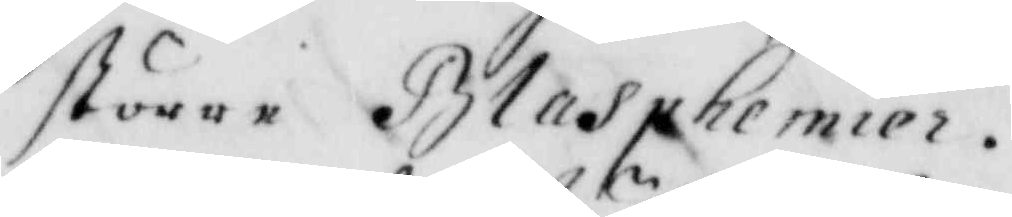större Bladphemier.
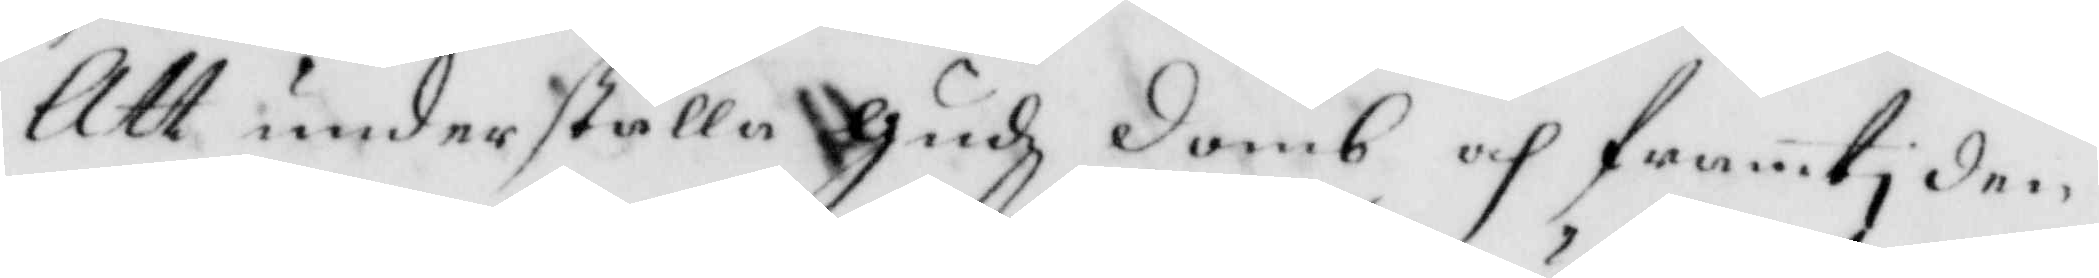Att underställa gudz domb och framtiden
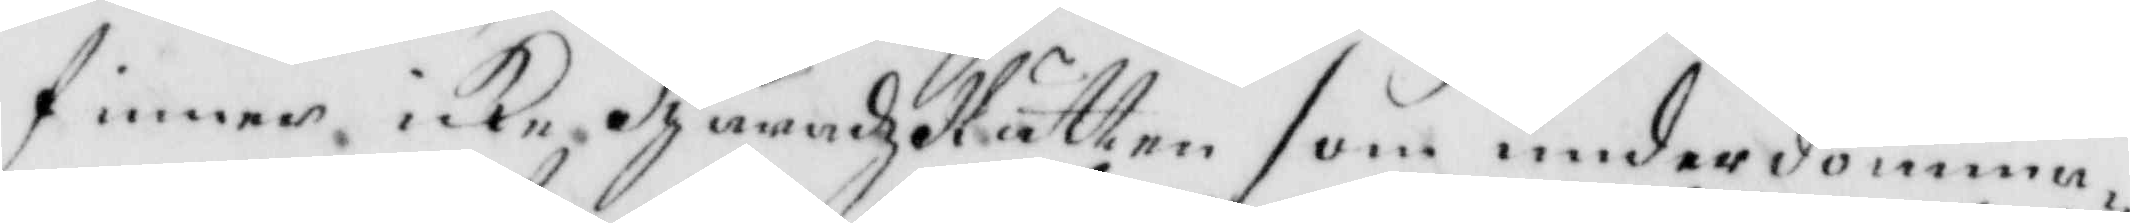finner icke häradzRätten som underdomma¬
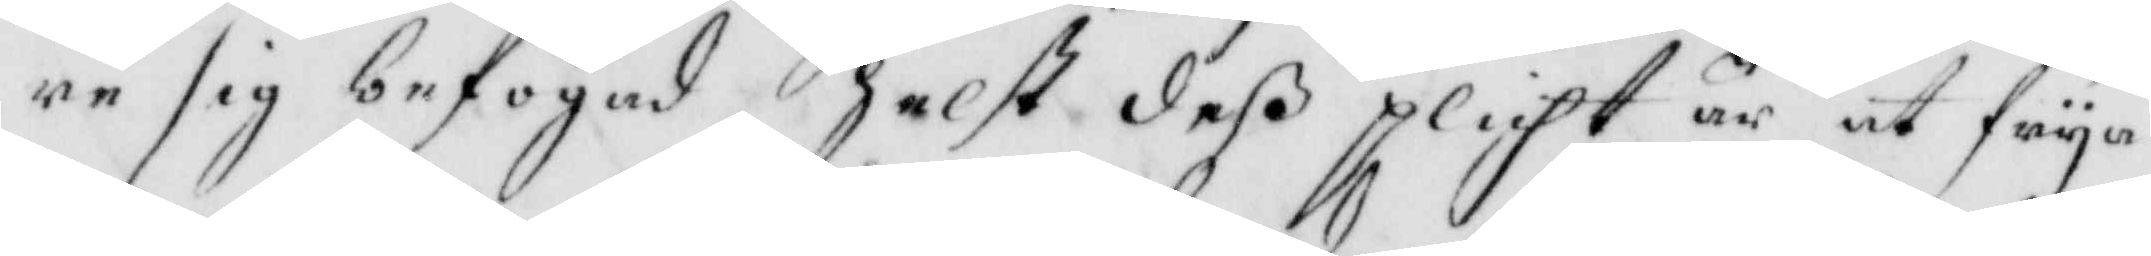re sig befogad, helst deß plicht är at frya
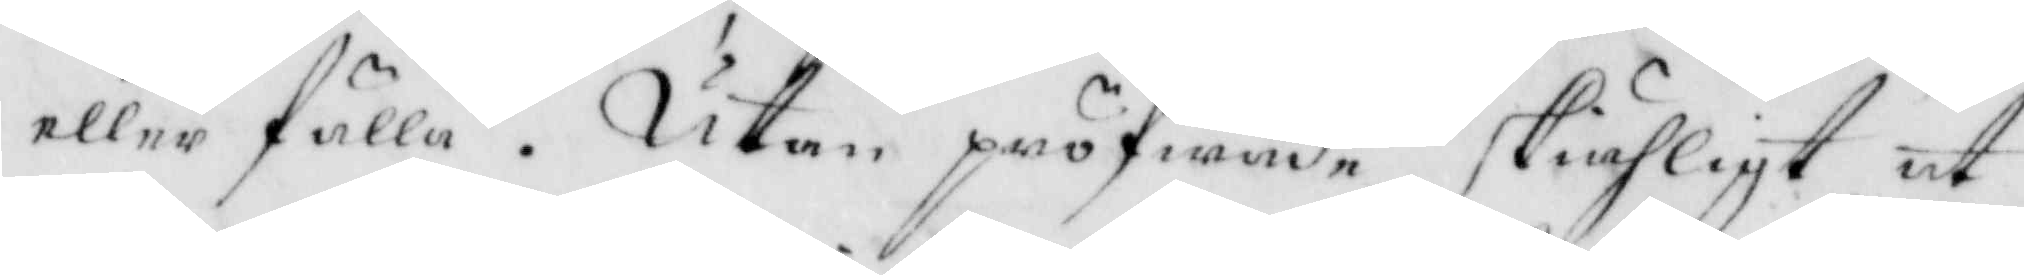eller fälla. Utan pröfwade skiähligt at
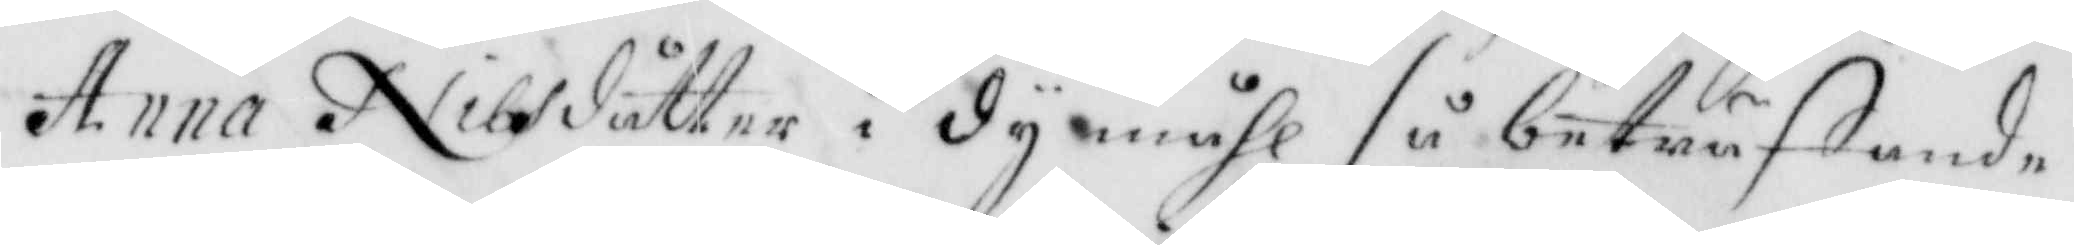Anna Nilsdåtter i dy måhl så beträffande
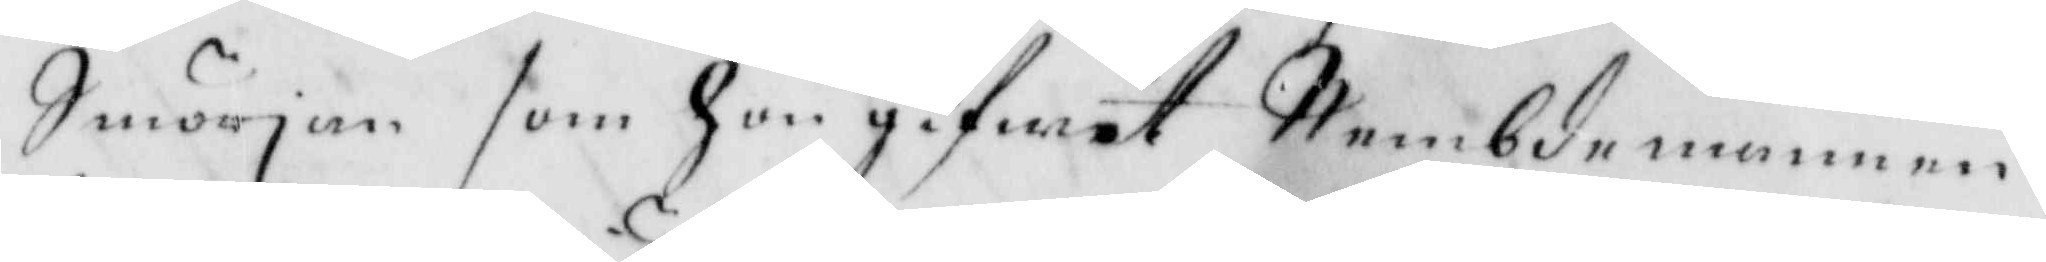Smörjan som hon gifwit Nembdemannen,
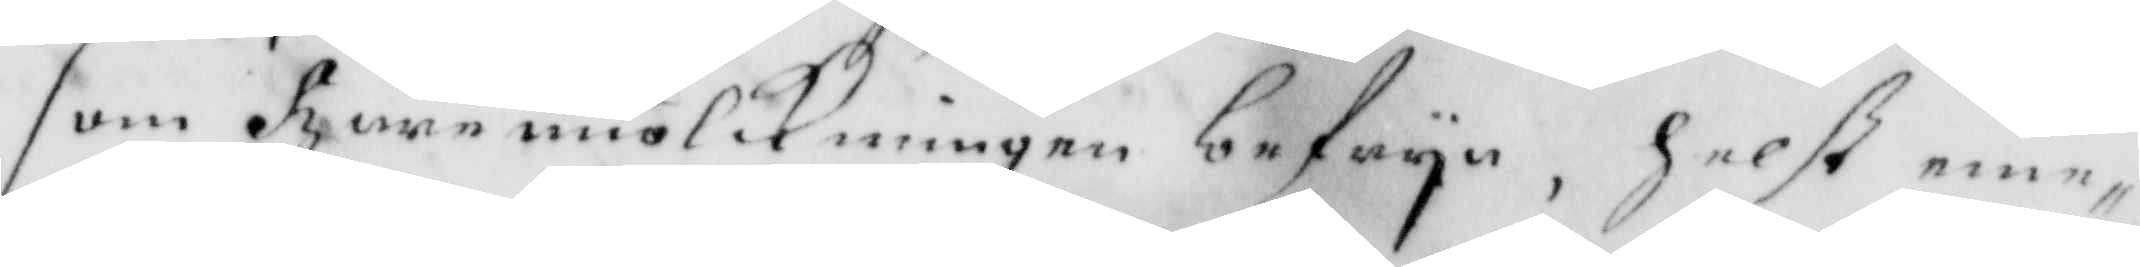som haremiölkningen befrya, helst eme¬
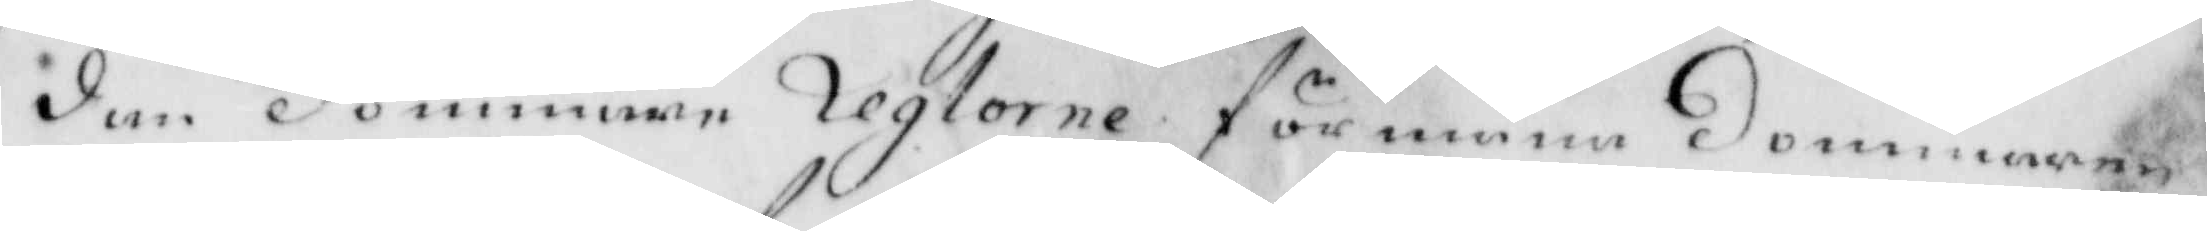dan dommare reglore förmana dommaren
